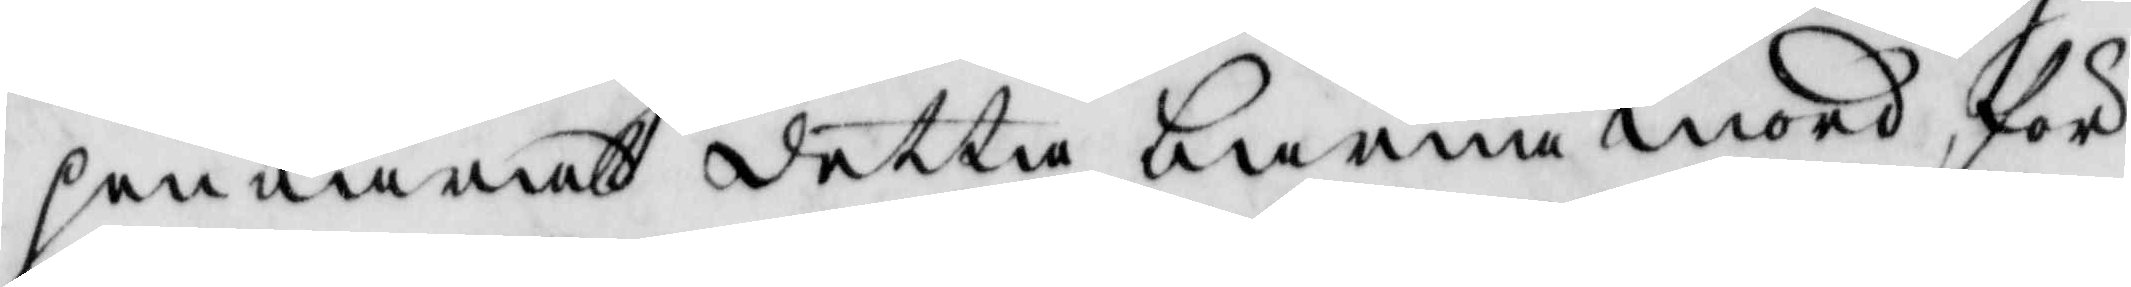penbarat detta barnamord för
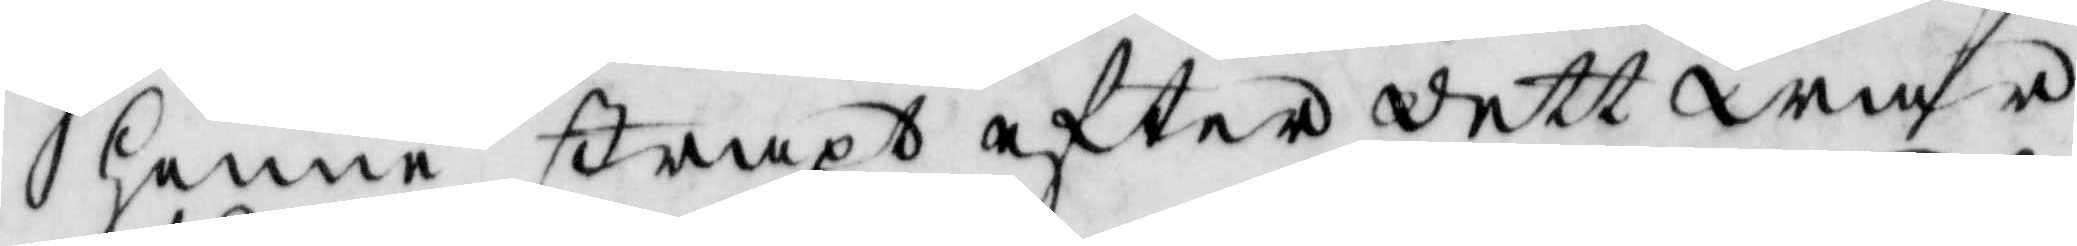henne straxt efter dett war
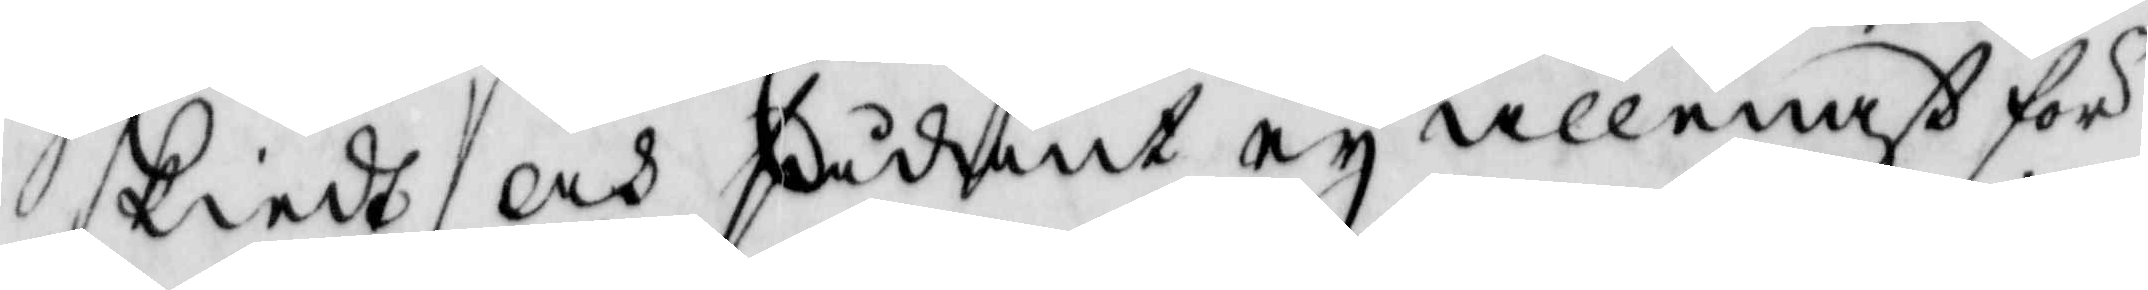skiedt och sådant ey allenast för¬
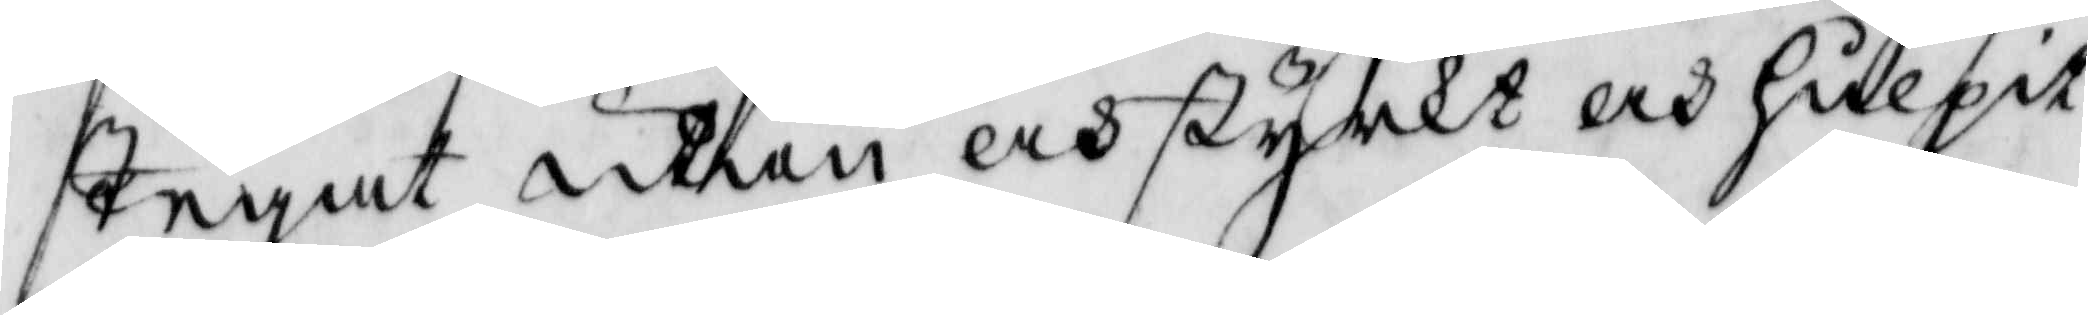Tegat utan och styrkt och hulpit
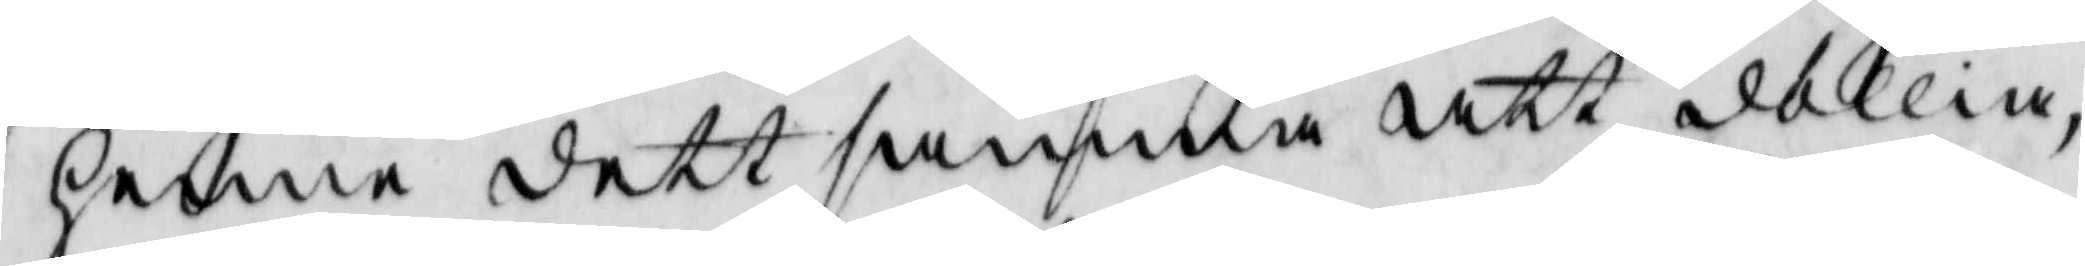henne dettsamma att döllia,
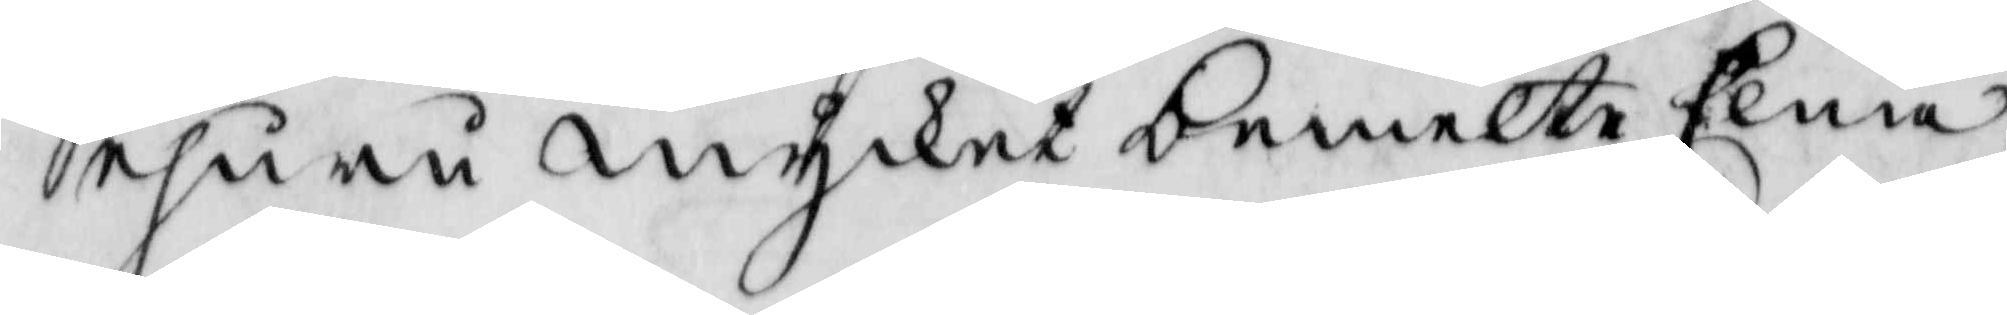ehuru mycket bemelte Elna
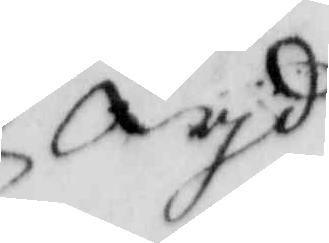wyd
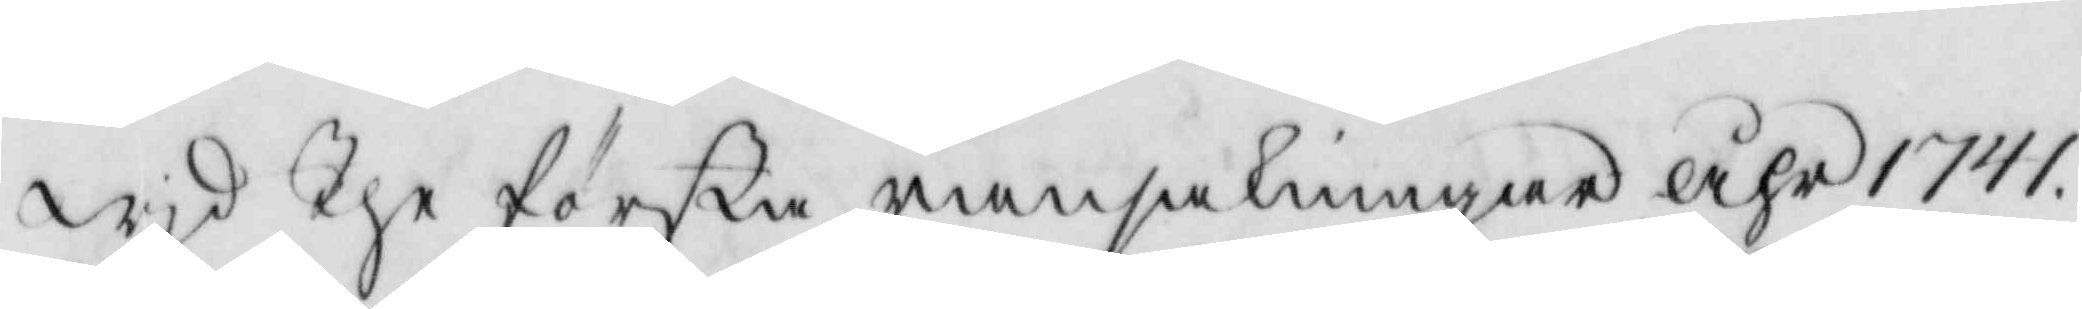wyd The första ransakningar åhr 1741
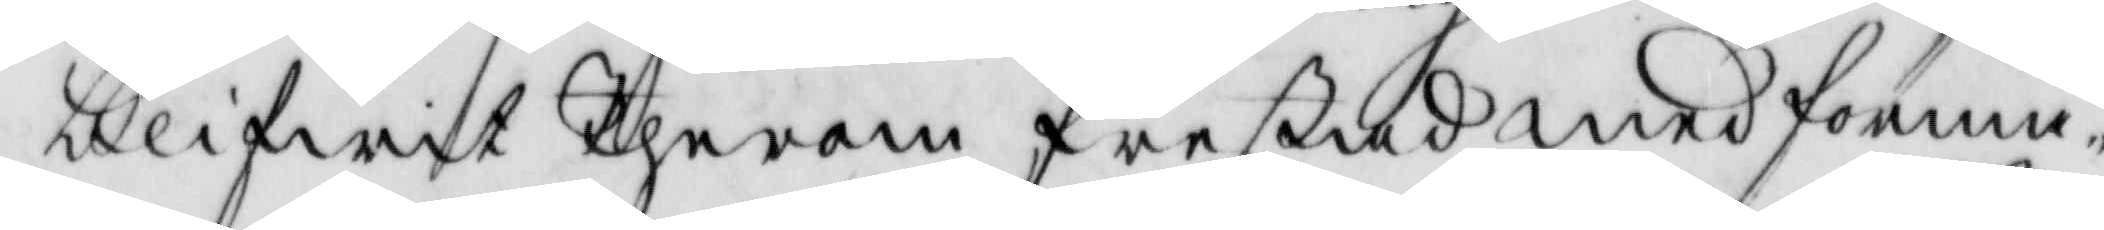blifwit Therom frestad med förma¬
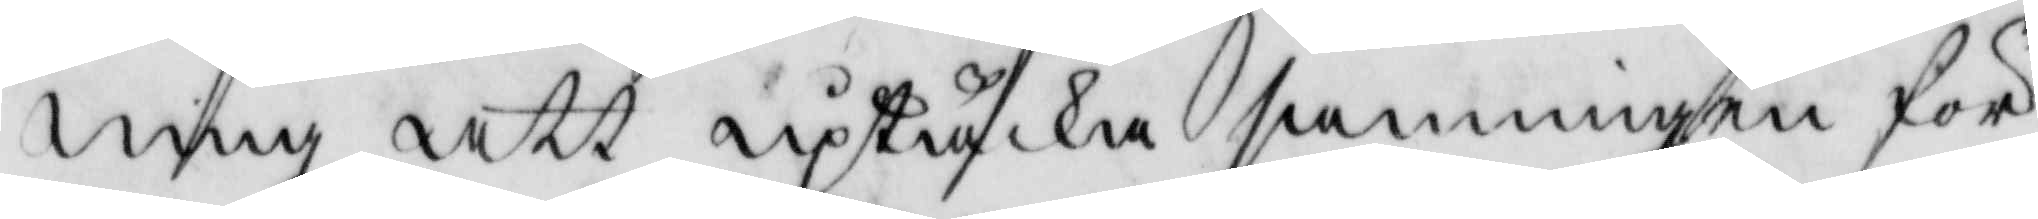ning att uptäcka sanningen för
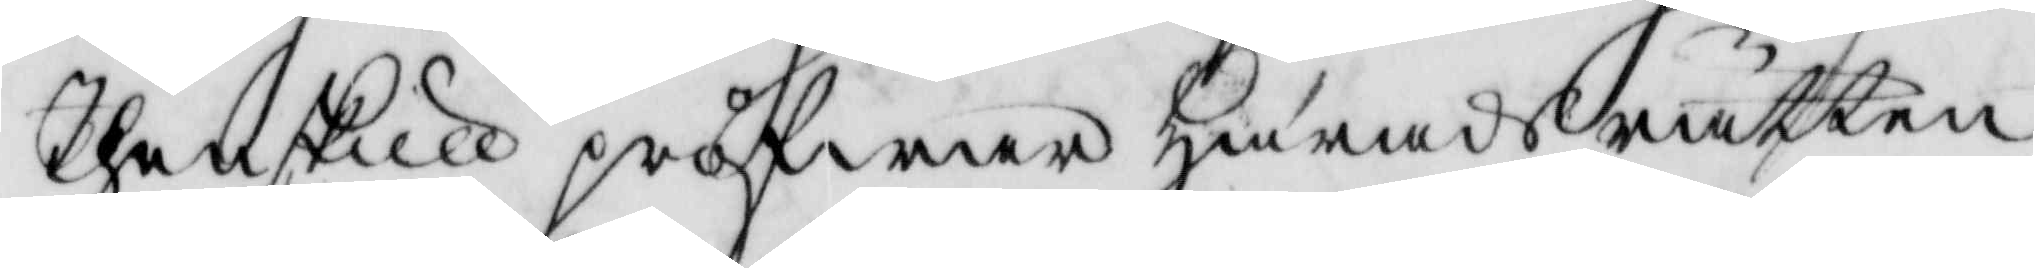Then skull pröfwar Härads rätten
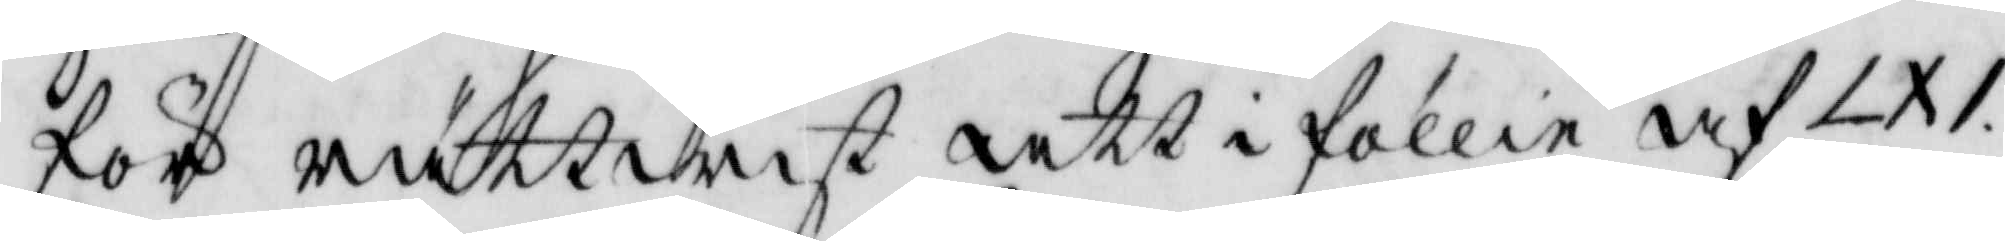för rättwist att i föllie af IXI
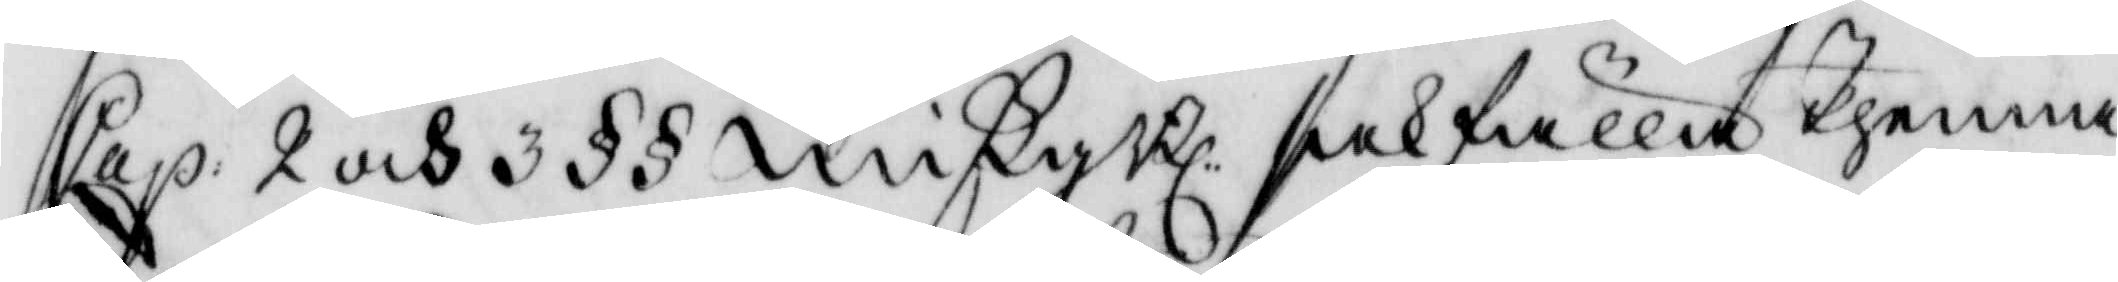Cap: 2 och 3 §§ mißgBl: sakfälla Thenna
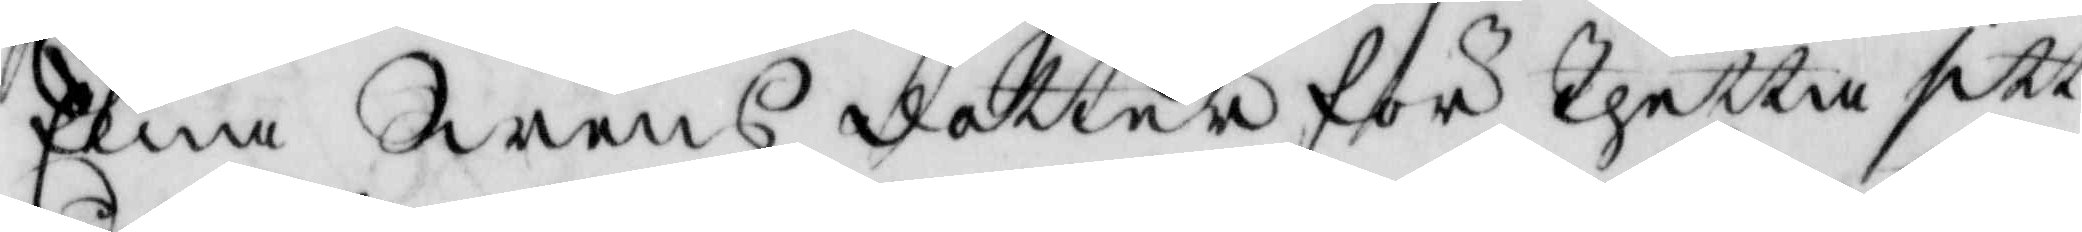Elna Swens dotter för Thetta sitt
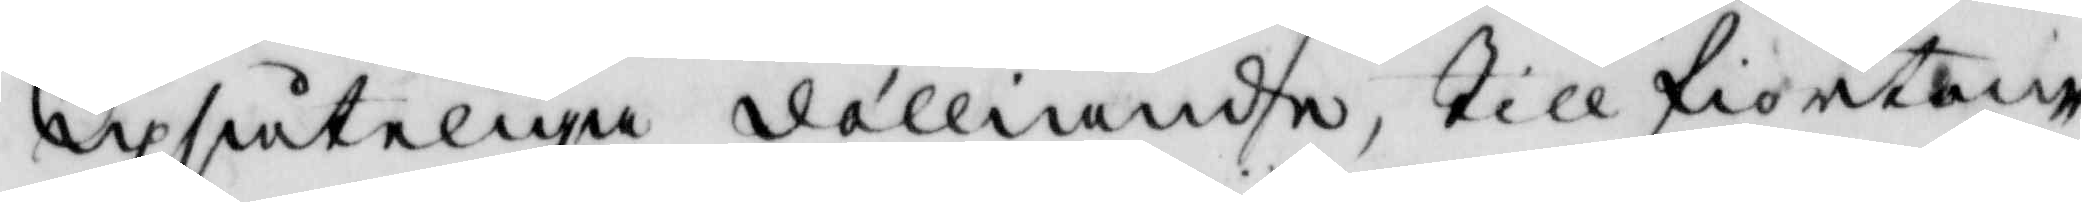upsåteliga dölliande Till fiorton
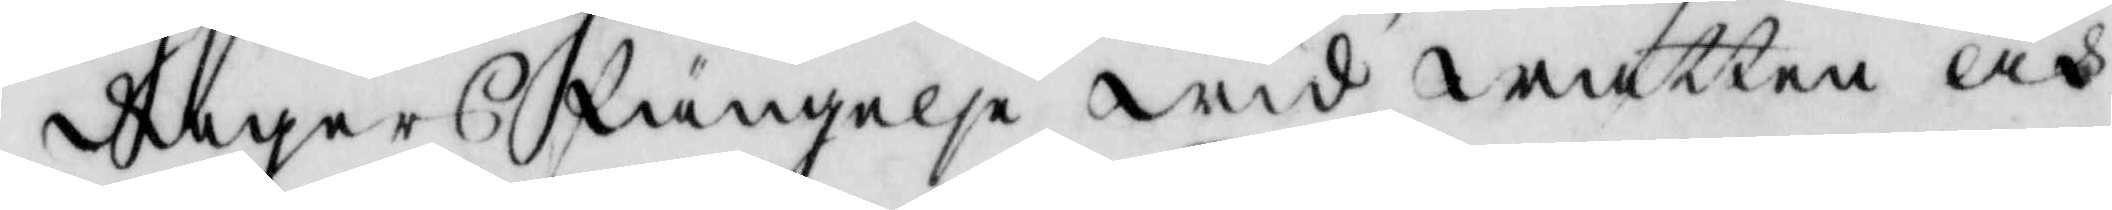dagars fängelse wid watten och
